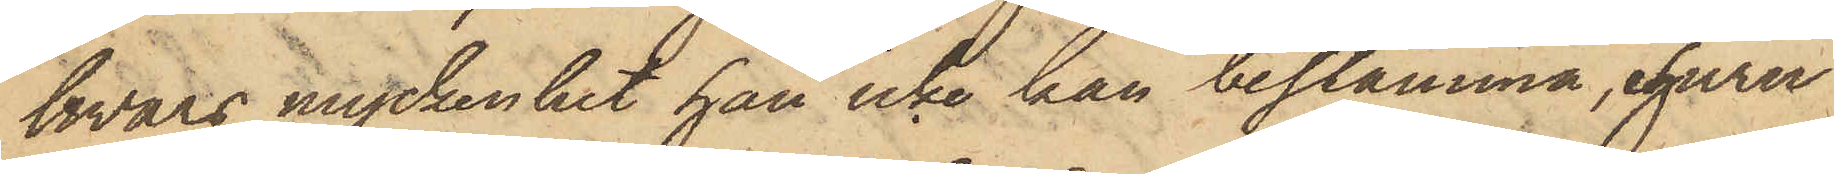hvars myckenhet han icke han bestämma, ehuru
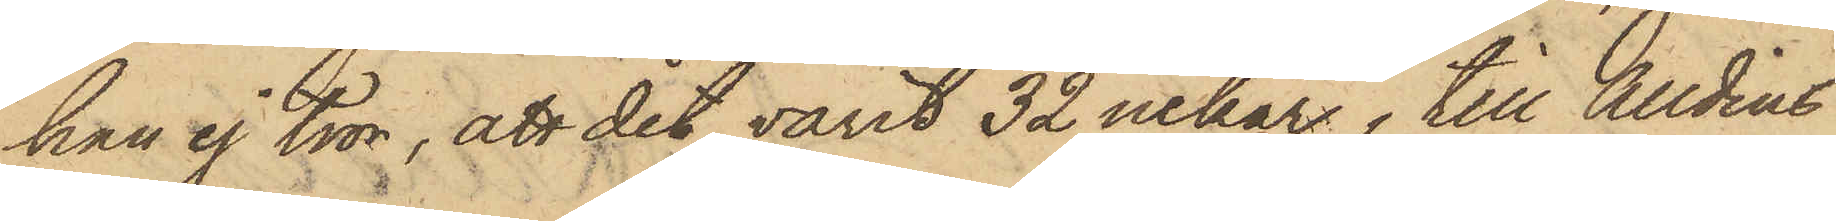han ej tror, att det varit 32 nekar, till Alldins
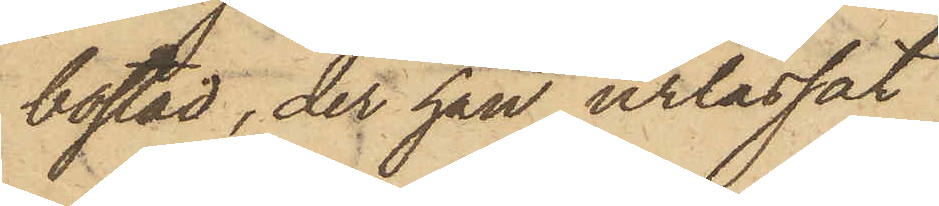bostad, der han urlassat
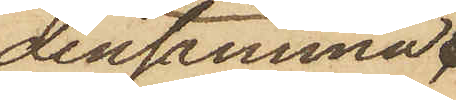densamma
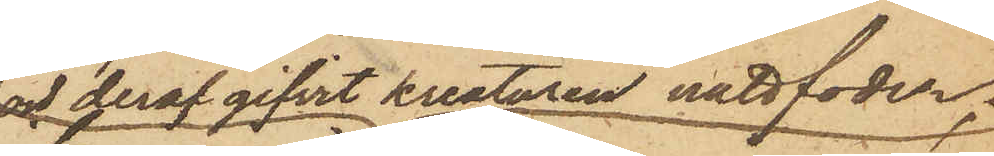och deraf gifvit kreaturen nattfoder;
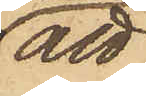att
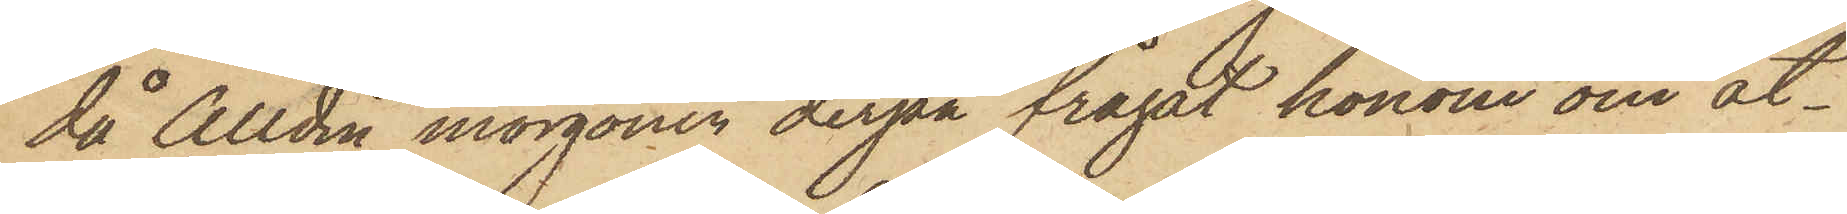då Alldin morgonen derpå frågat honom om åt¬
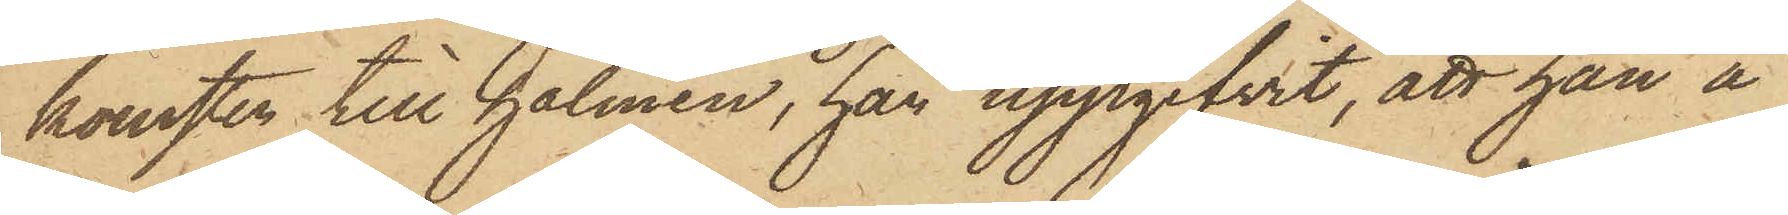komsten till halmen, han uppgifvit, att han å
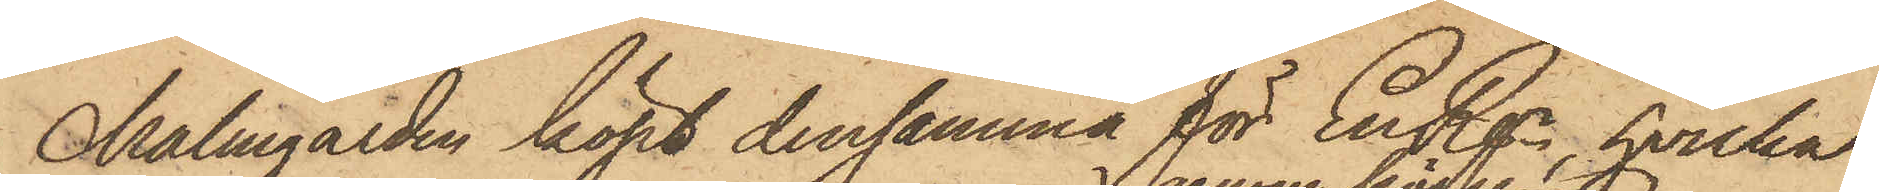Malmgården köpt densamma för En Rgr, hvilka
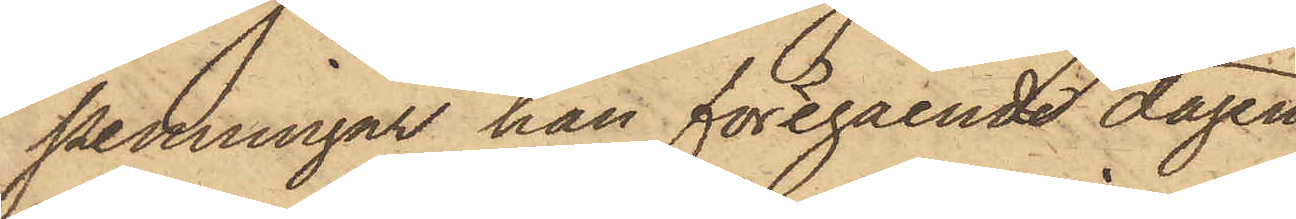penningar han föregående dagen
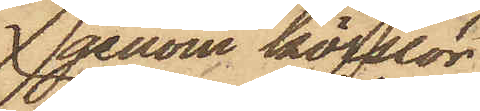genom körslor
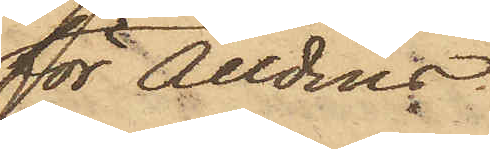för Alldins
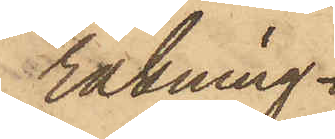räkning
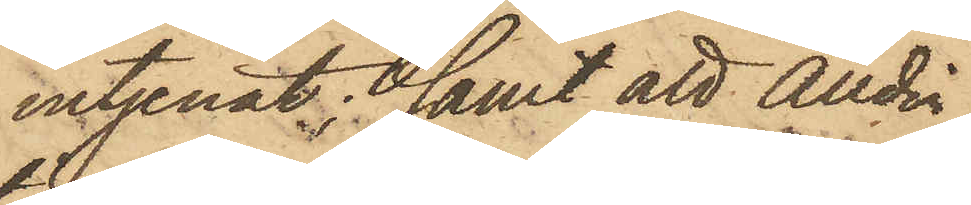intjenat; samt att Alldin,
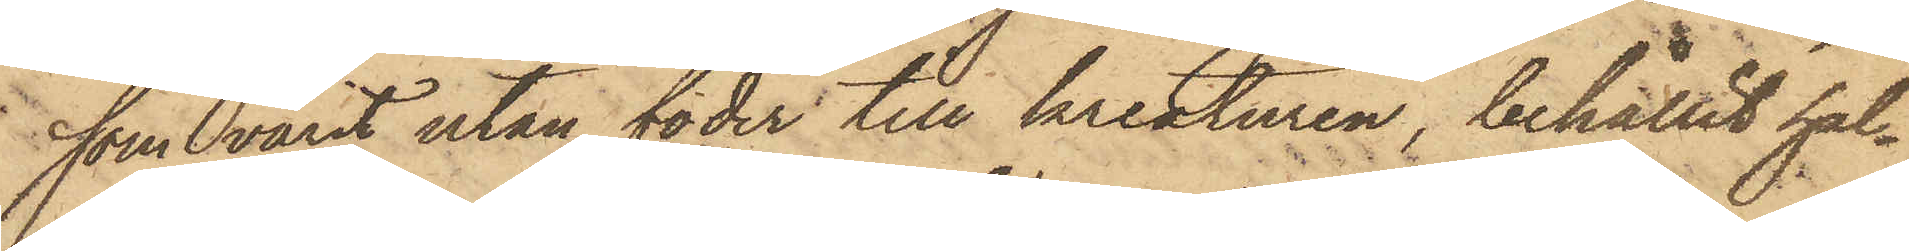som varit utan foder till kreaturen, behållit hal¬
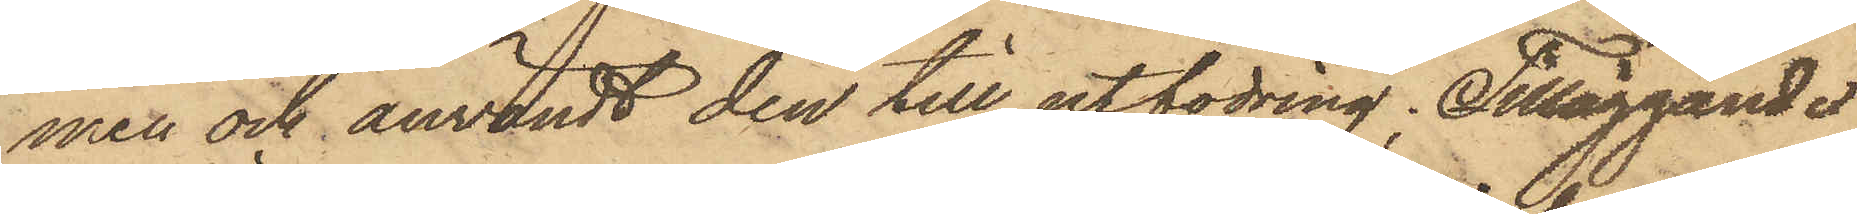men och användt den till utfodring; Tilläggande
